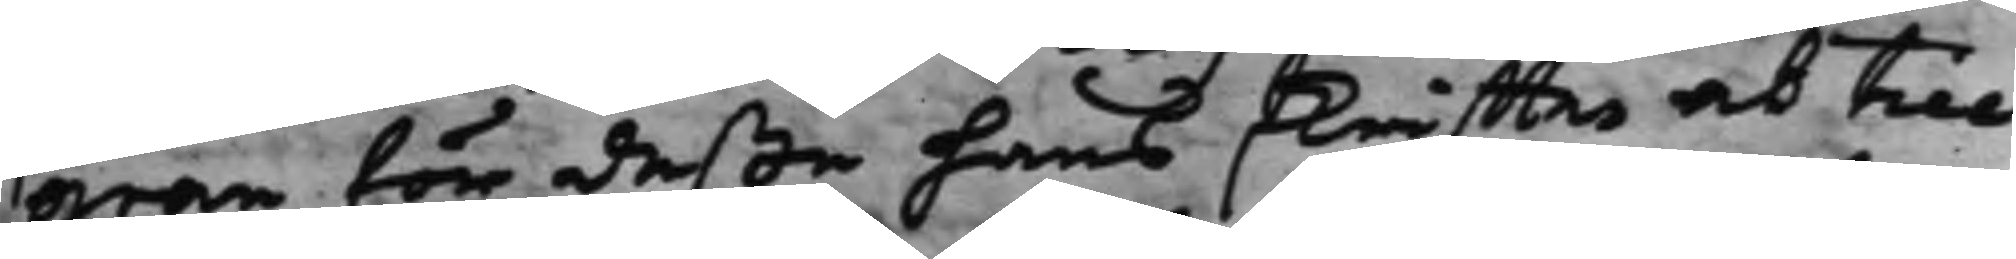gran för deße hans skriffter at till¬
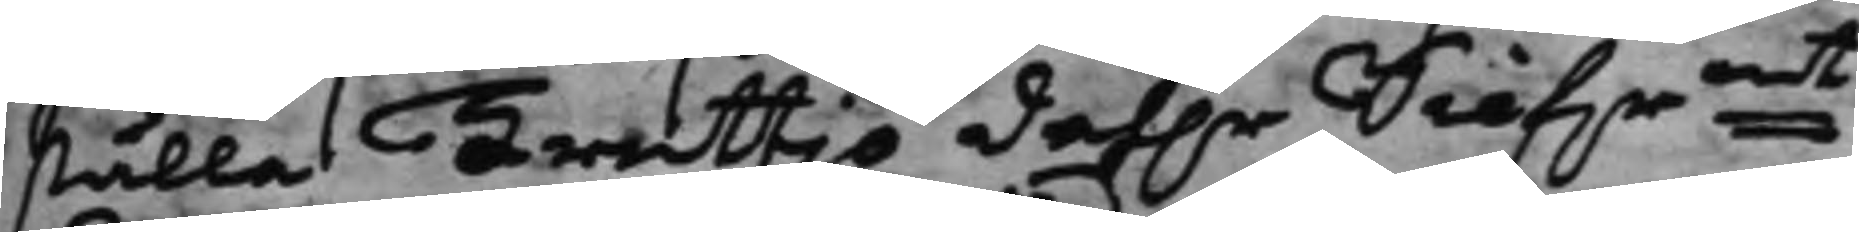ställa Trettjo Dah.r Silf.rmt,
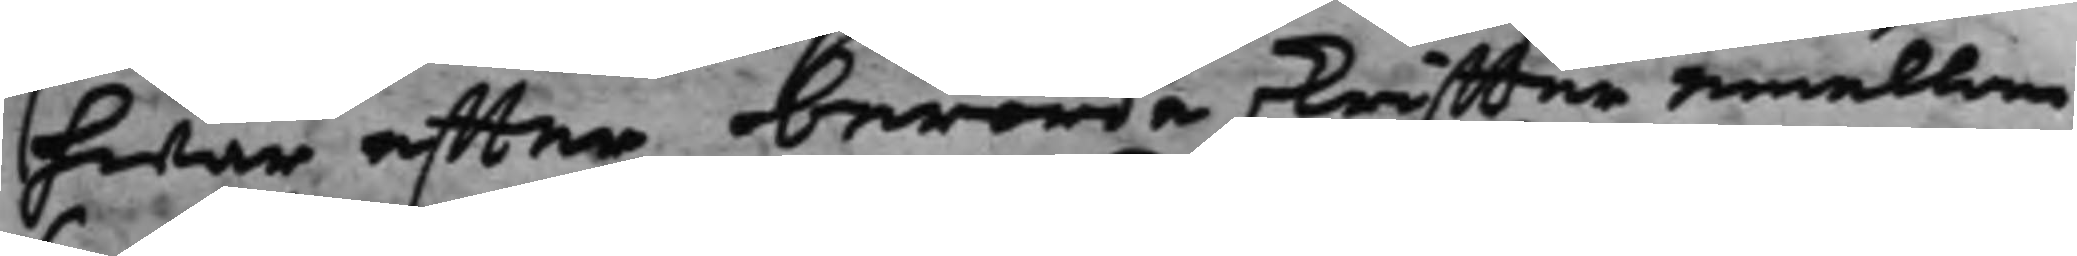hwar effter berörde skriffter emellan
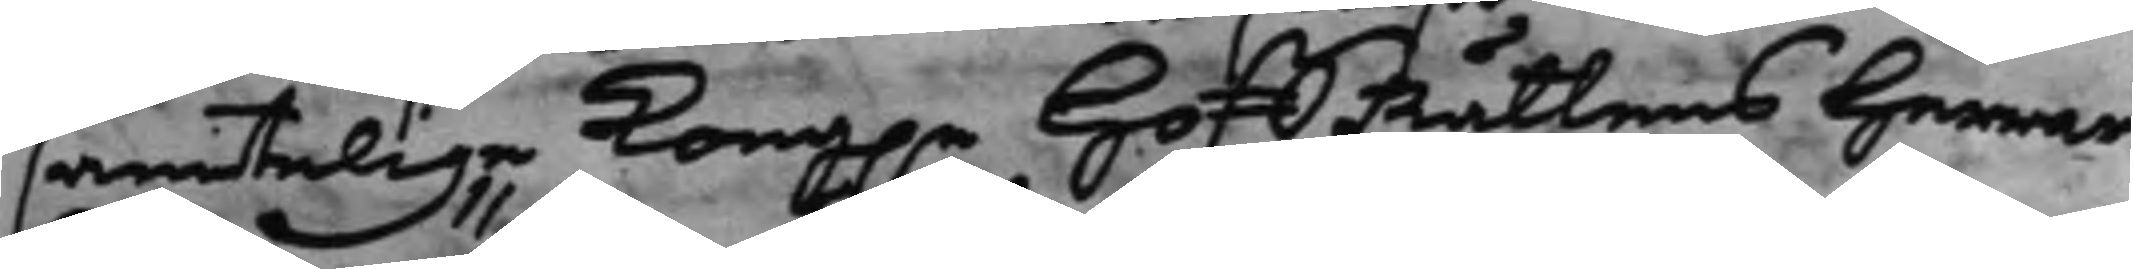samtelige Kong.e HoffRättens Herrar
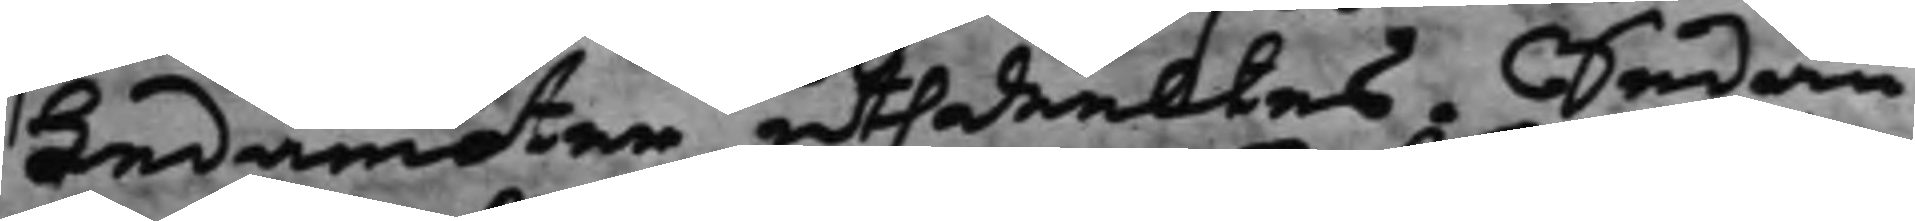Ledamöter uthdeltes. Sedan
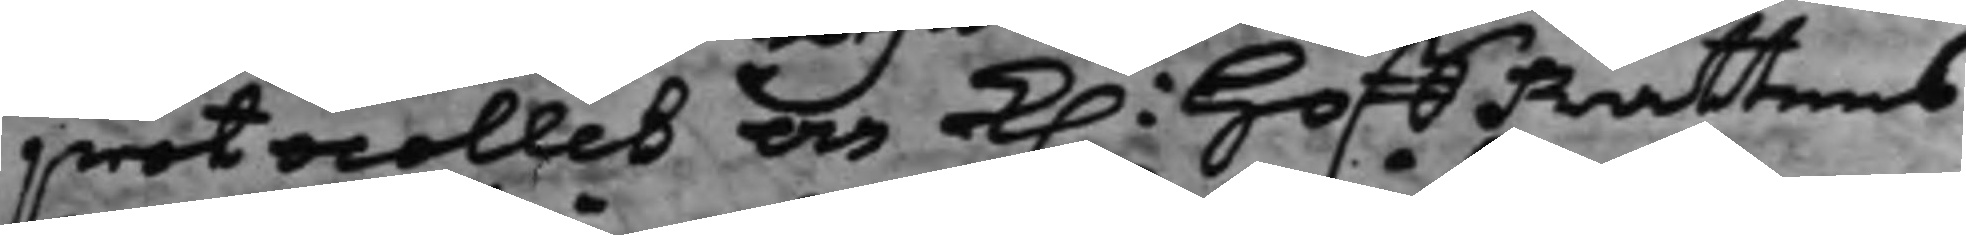protocollet och K. HoffRättens
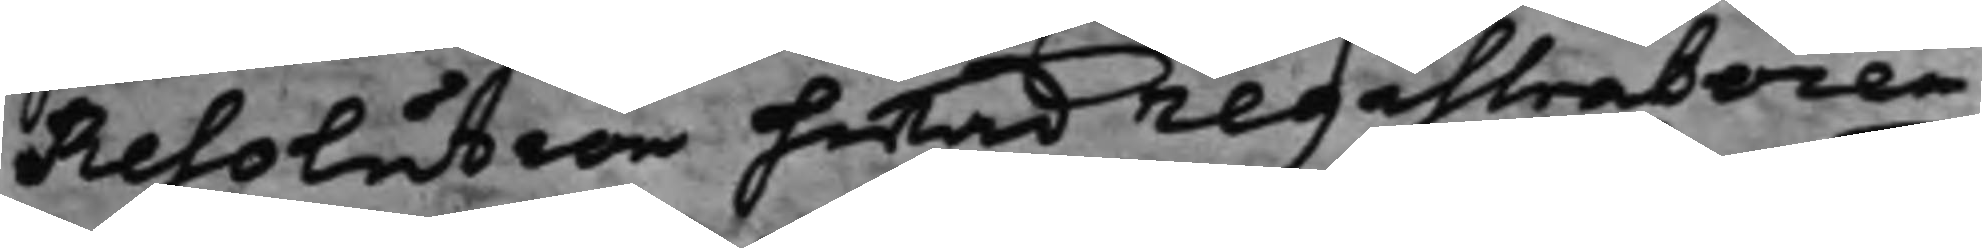Resolution hwad registratoren
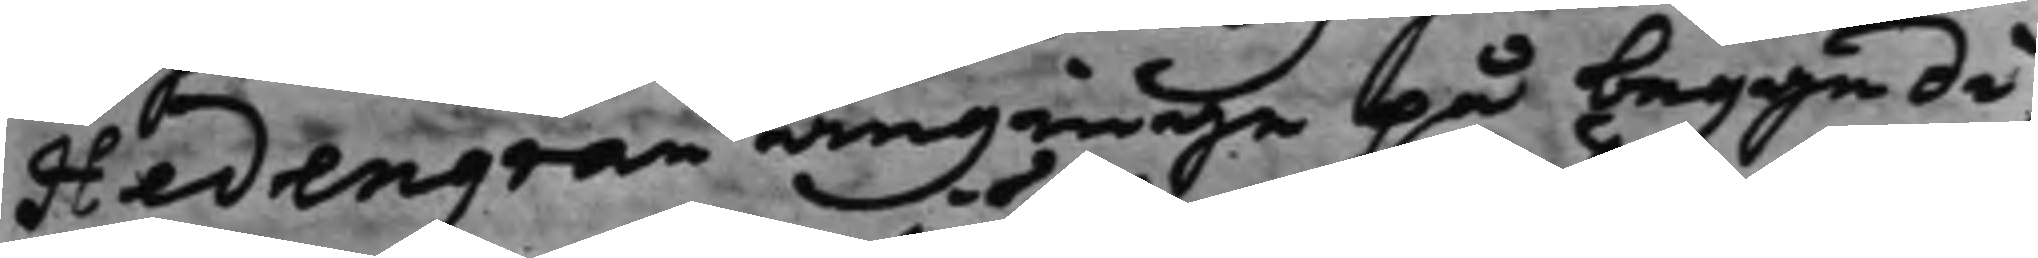Hedengran anginge på begge di¬
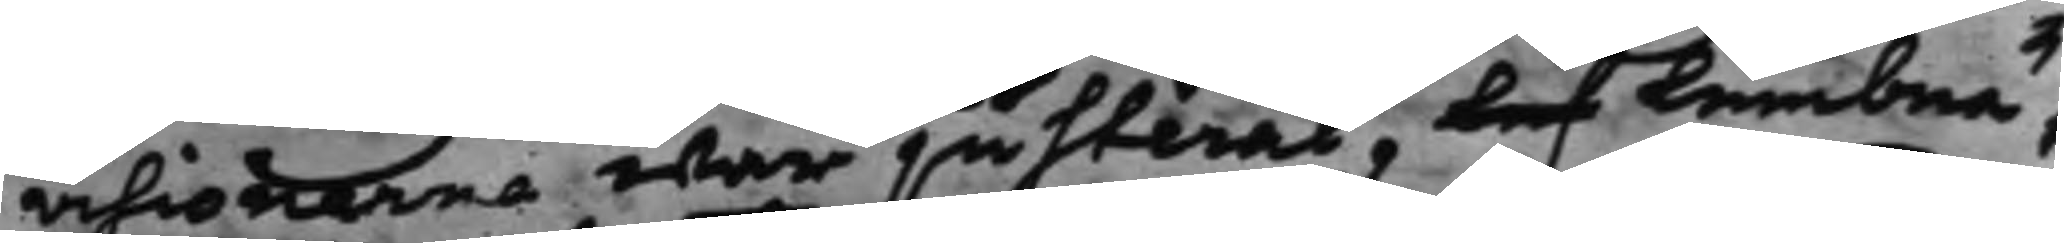visionerne war justerat, lef lembna¬
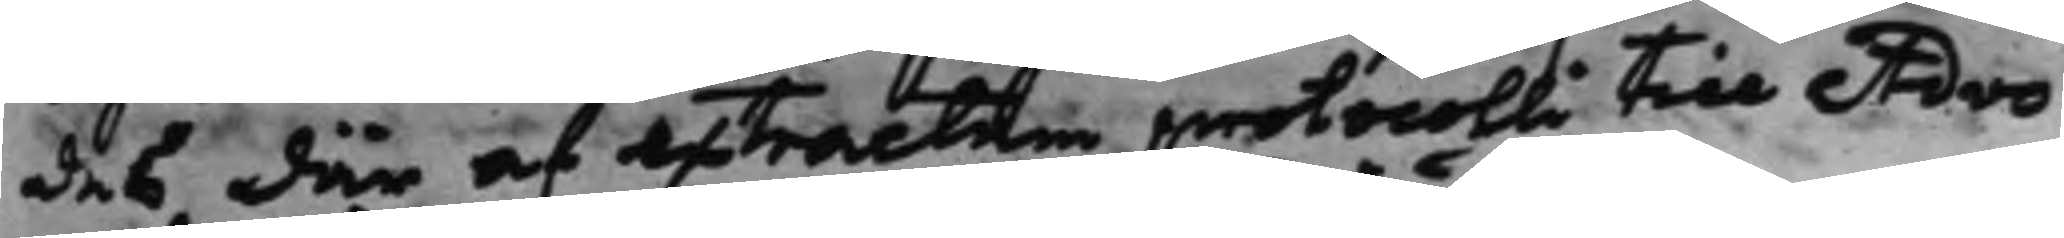des där af extractum protocolli till Advo¬
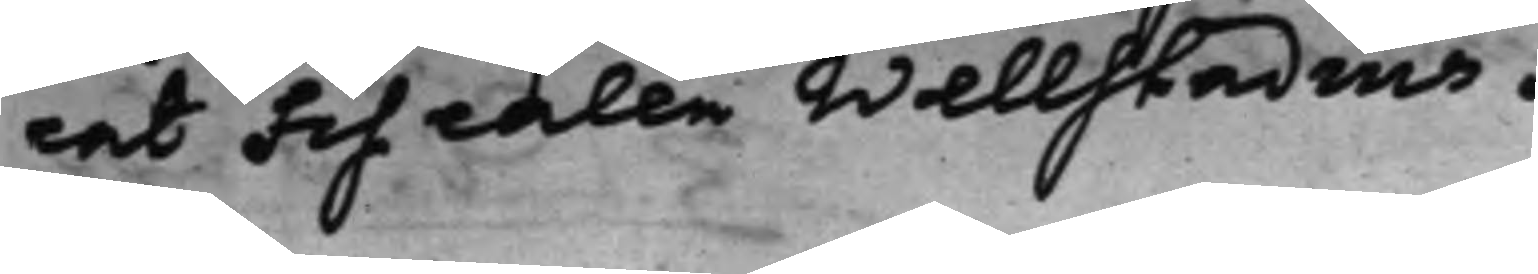cat Fiscalen Wellstadius.
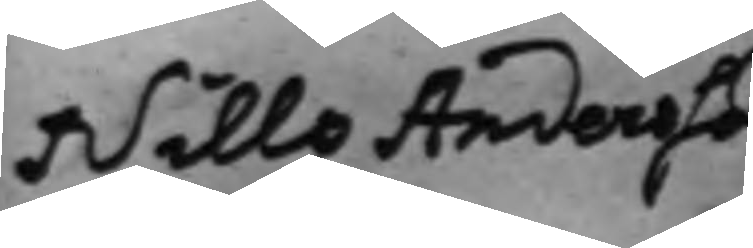Nills Andersson
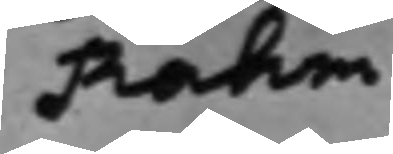Rahm
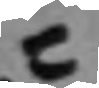C
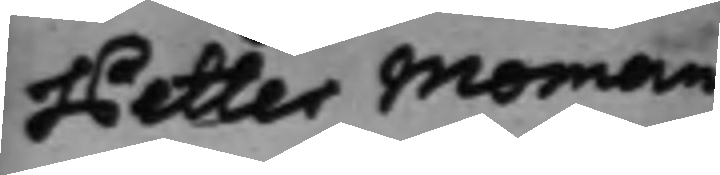Petter Moman
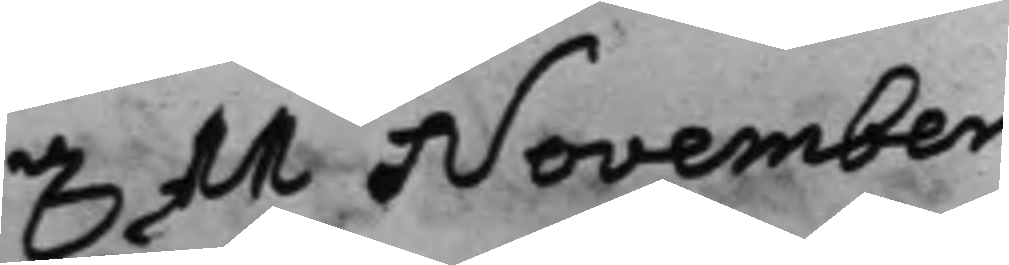d. 11 November
